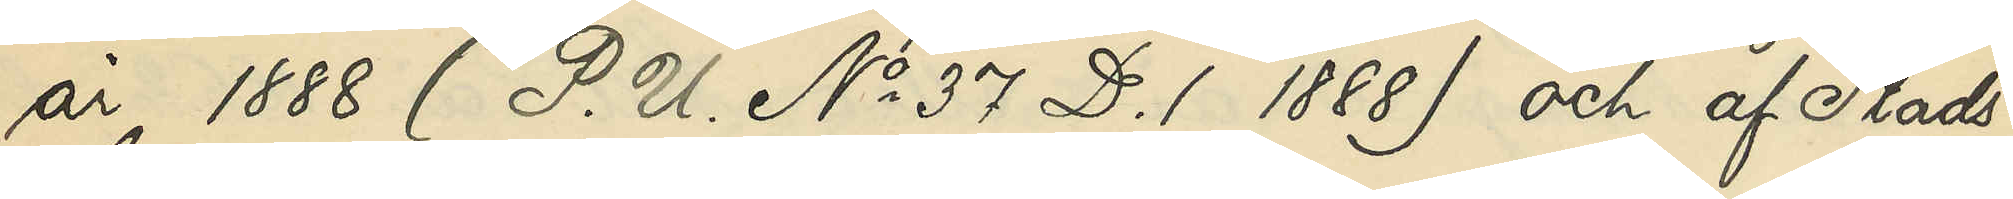år 1888 (P. U. No 37 D. 1 1888) och af Stads¬
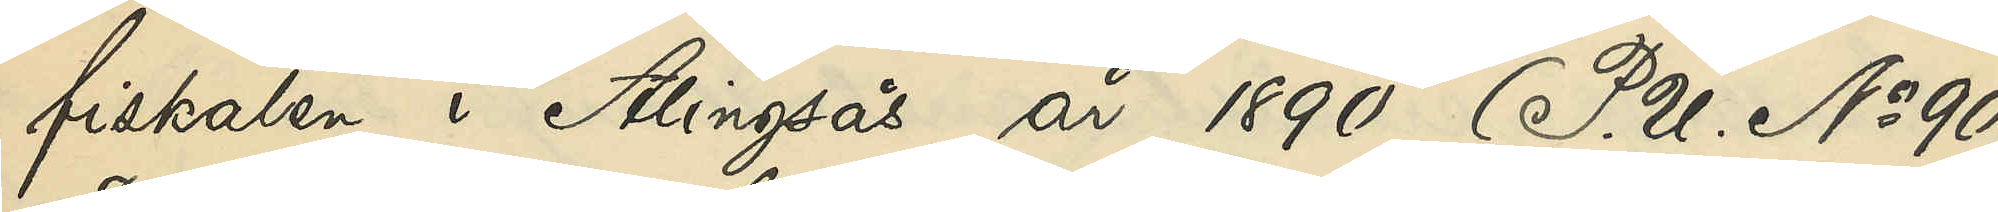fiskalen i Alingsås år 1890 (P. U. No 90
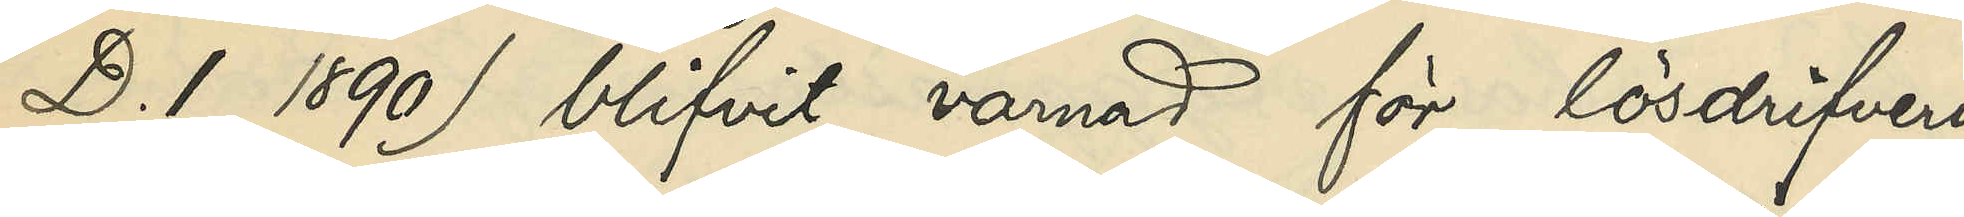D. 1 1890) blifvit varnad för lösdrifveri
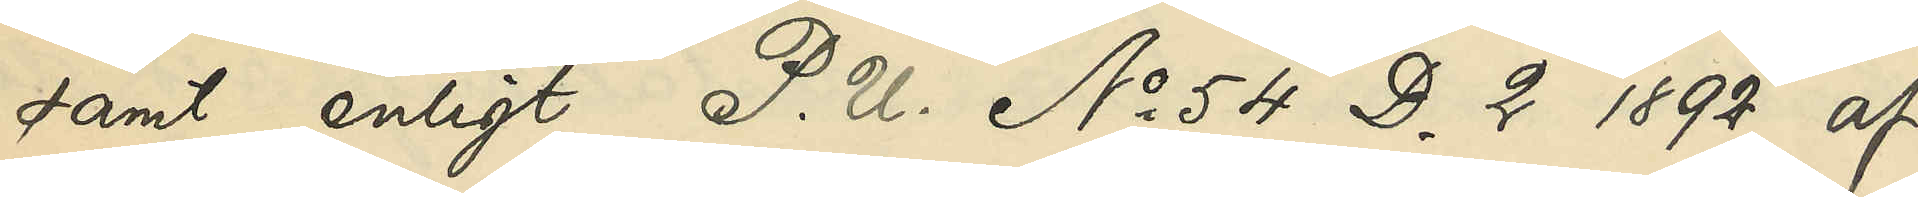samt enligt P. U. No 54 D. 2 1892 af
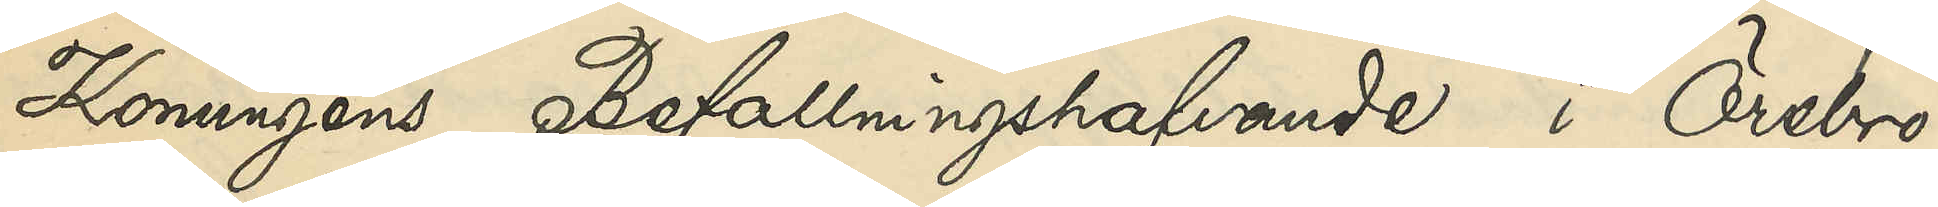Konungens Befallningshafvande i Örebro
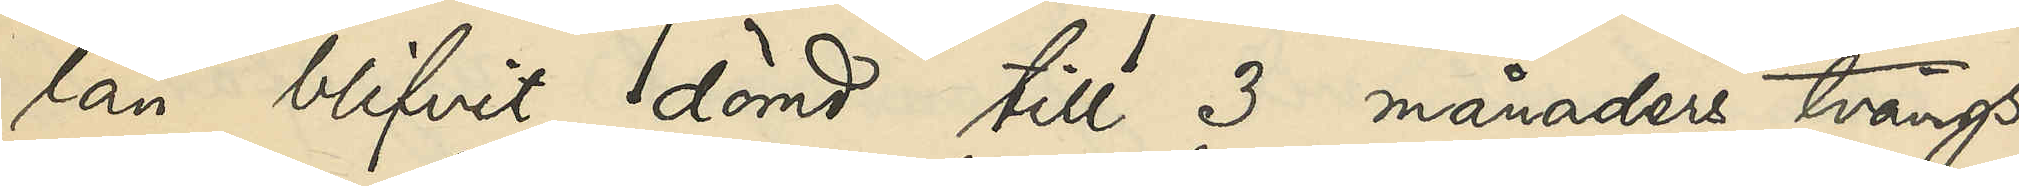län blifvit dömd till 3 månaders tvångs¬
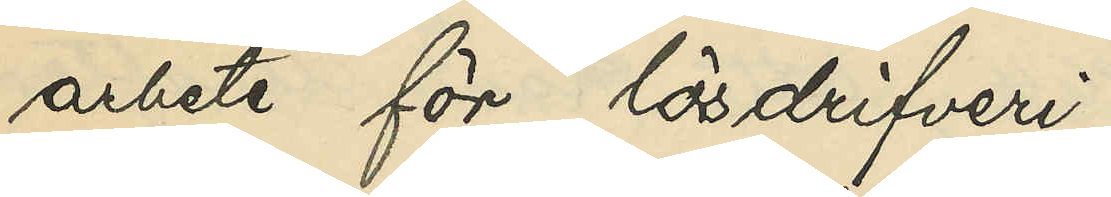arbete för lösdrifveri
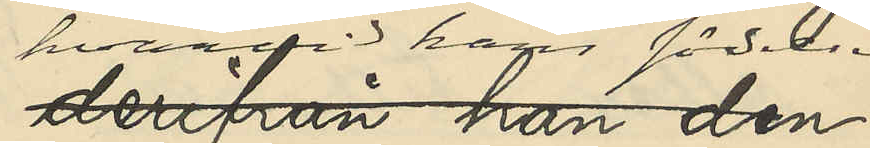hvarvid hans födelse¬
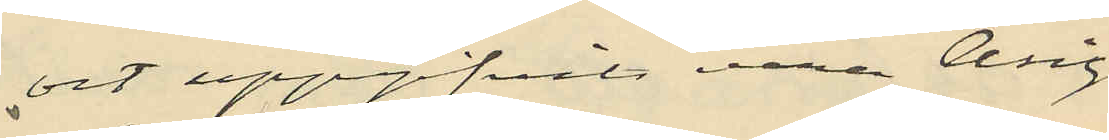ort uppgifvits vara Asige
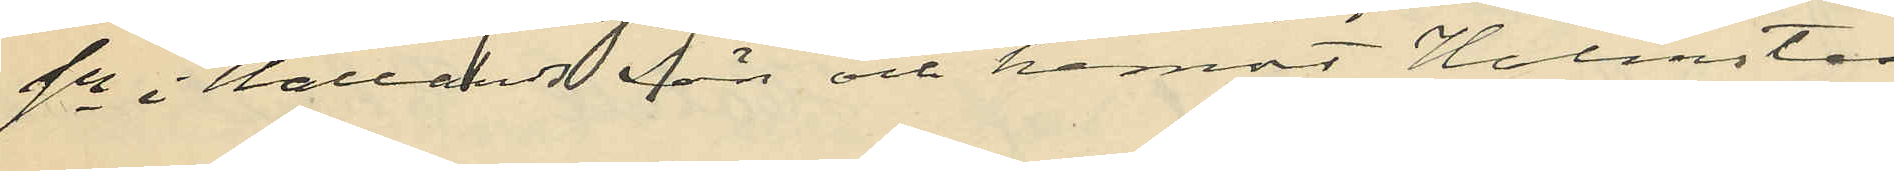sn  i Hallands län och hemort Halmstad.
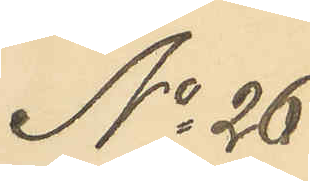No 26
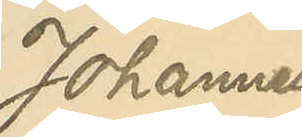Johannes
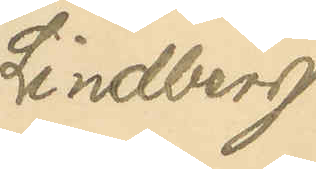Lindberg
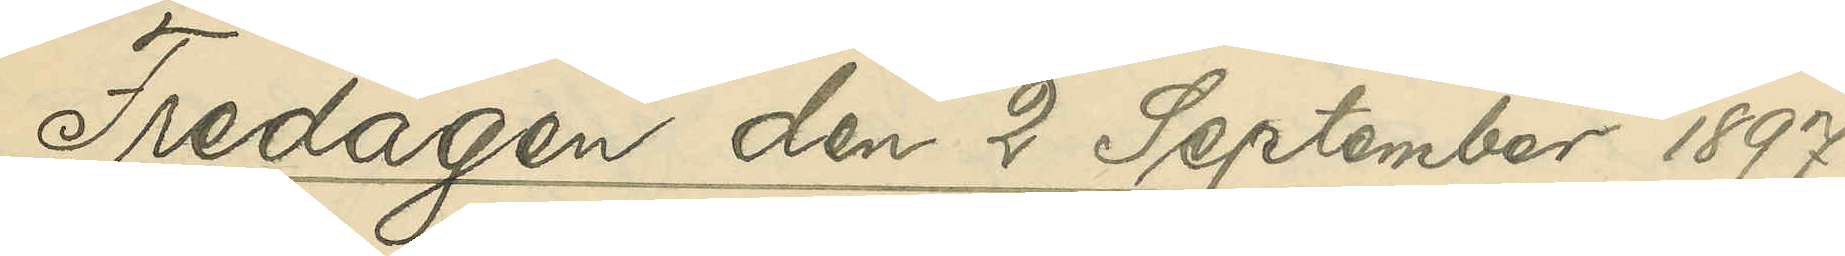Fredagen den 2 September 1897
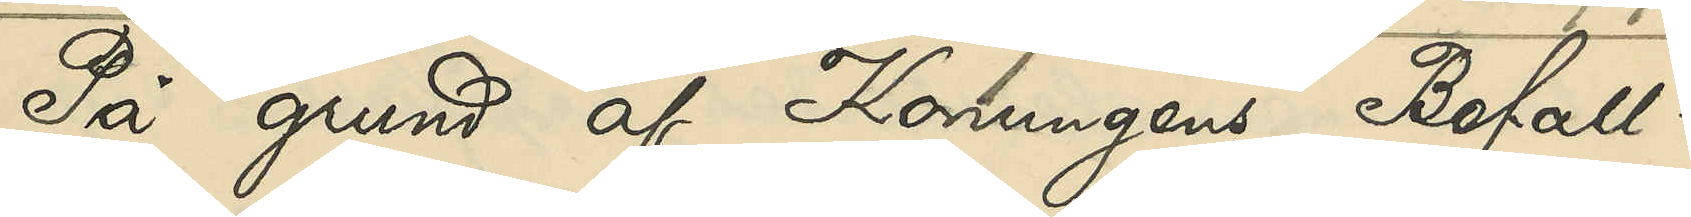På grund af Konungens Befall¬
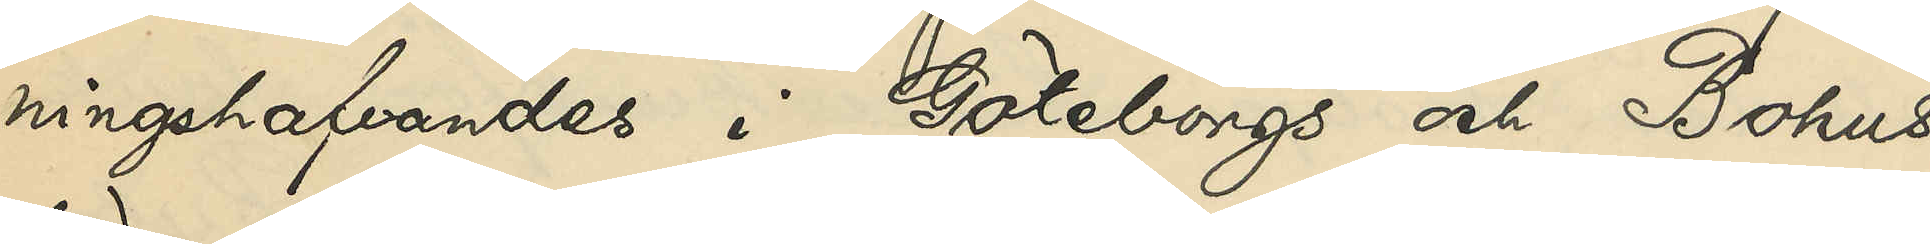ningshafvandes i Göteborgs och Bohus
